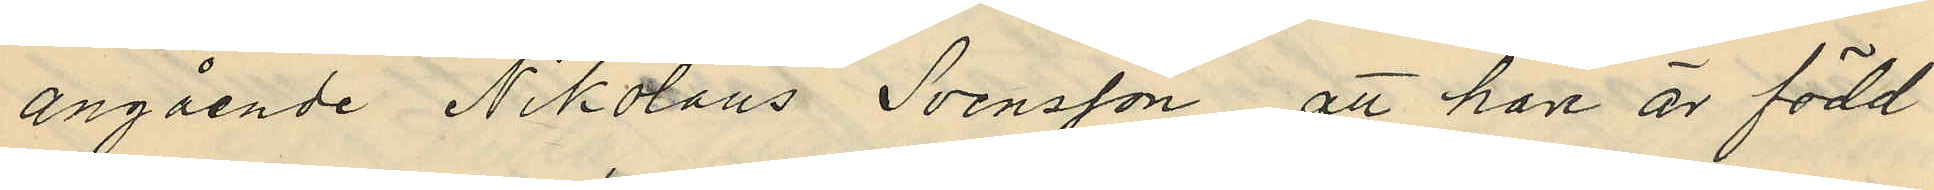angående Nikolaus Svensson, att han är född
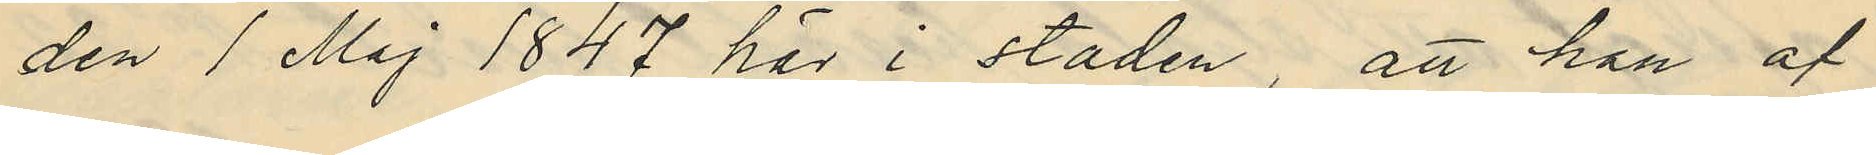den 1 Maj 1847 här i staden, att han af
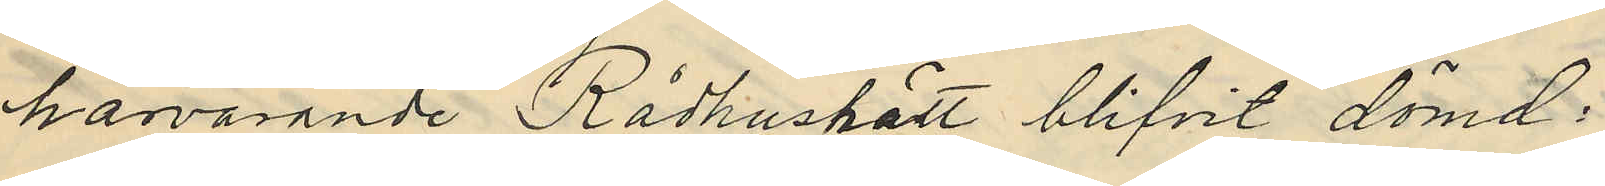härvarande Rådhushått blifvit dömd,
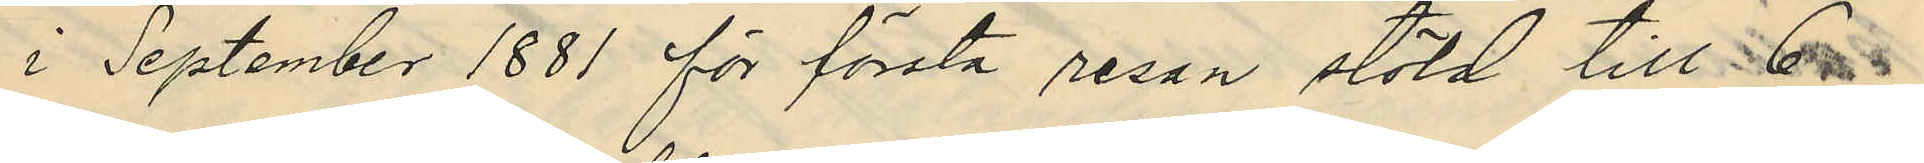i September 1881 för första resan stöld till 6
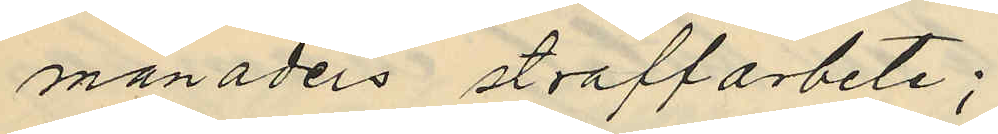månaders straffarbete;
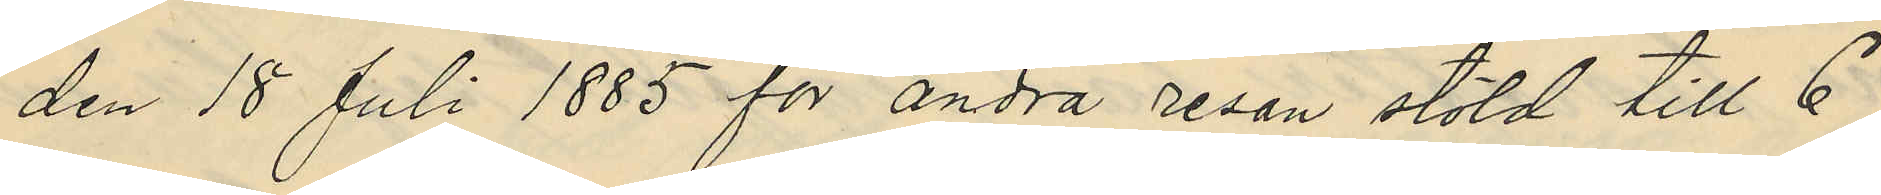den 18 Juli 1885 för andra resan stöld till 6
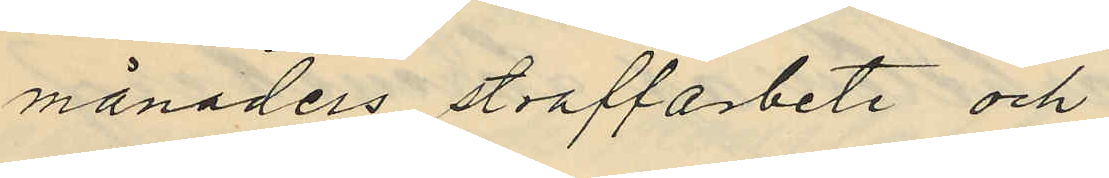månaders straffarbete och
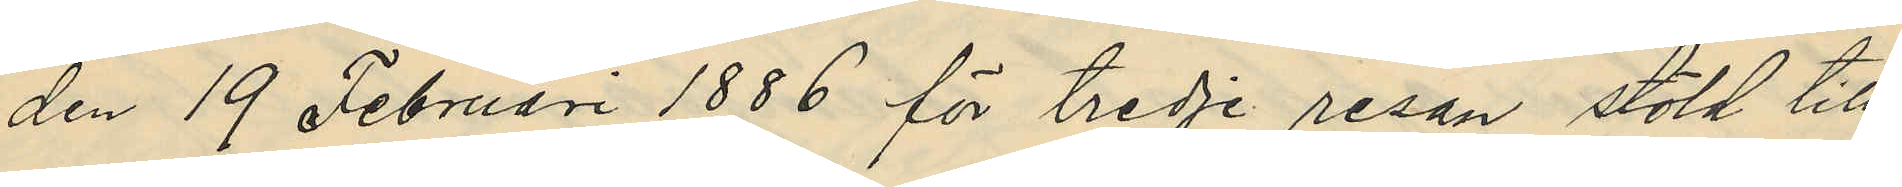den 19 Februari 1886 för tredje resan stöld till
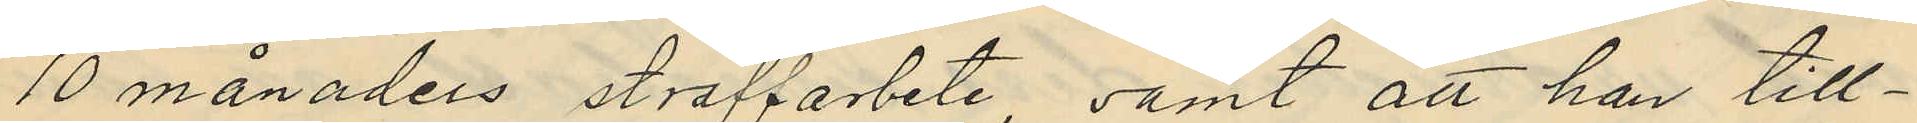10 månaders straffarbete, samt att han till¬
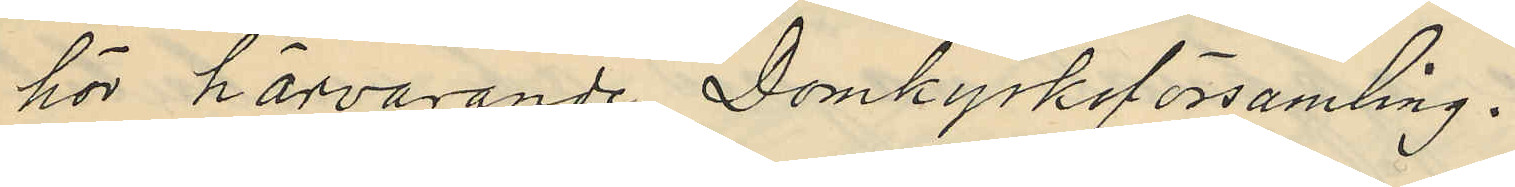hör härvarande Domkyrkoförsamling.
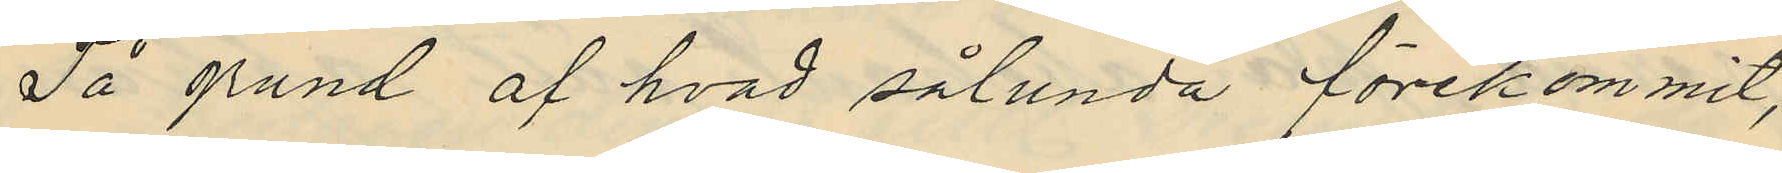På grund af hvad sålunda förekommit,
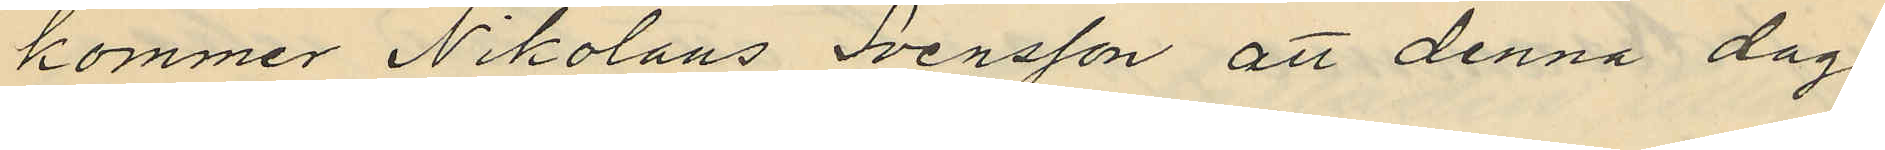kommer Nikolaus Svensson att denna dag
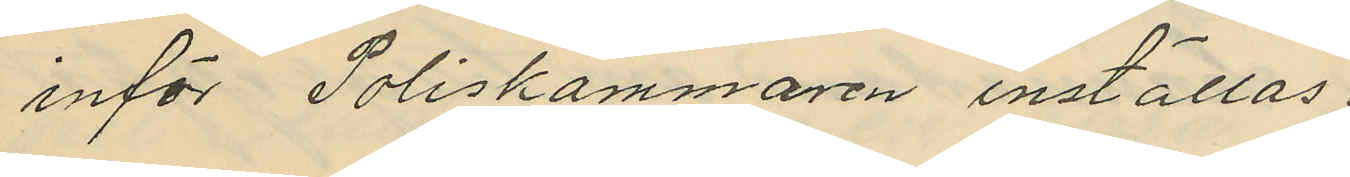inför Poliskammaren inställas.
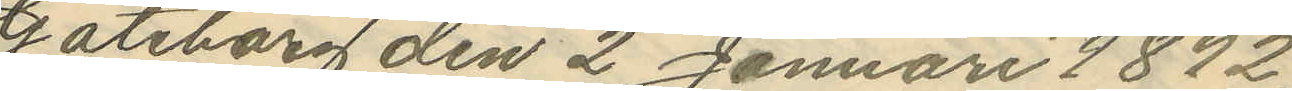Göteborg den 2 Januari 1892.
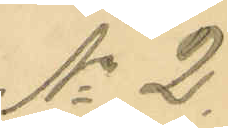No 2.
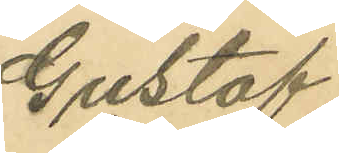Gustaf
